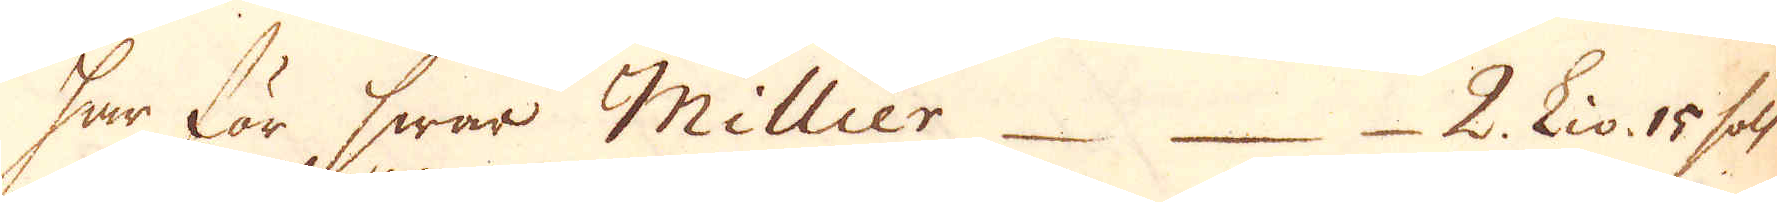har för hwar Millier 2 Liv. 10 sols
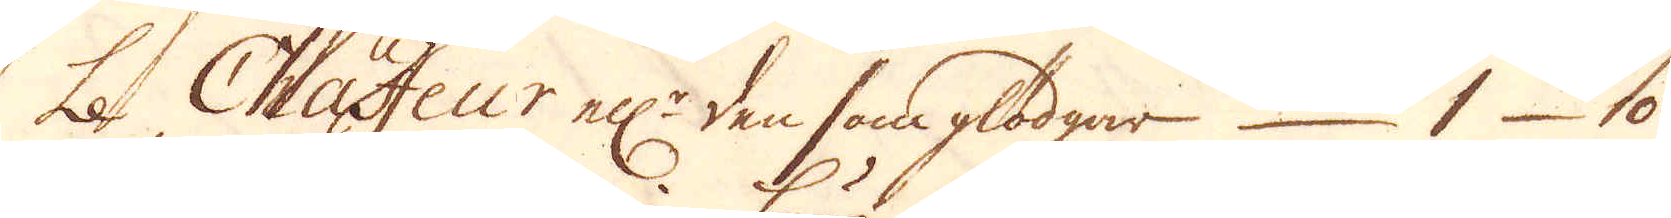Le Chauffeur el:r den som glödgar 1 10
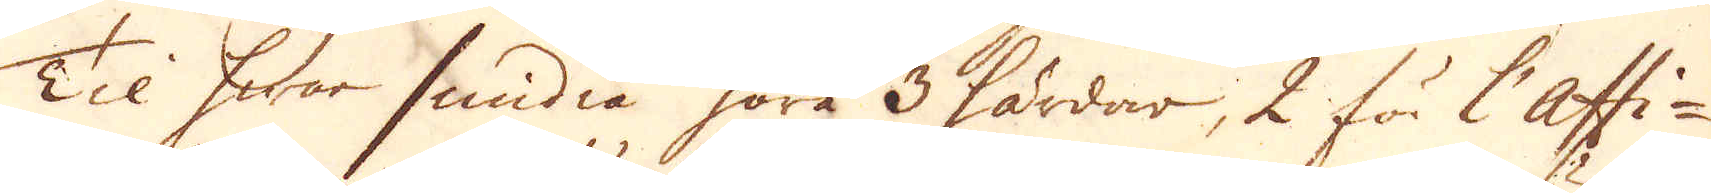Til hwar smidia höra 3 härdar, 2 för l'Assi-
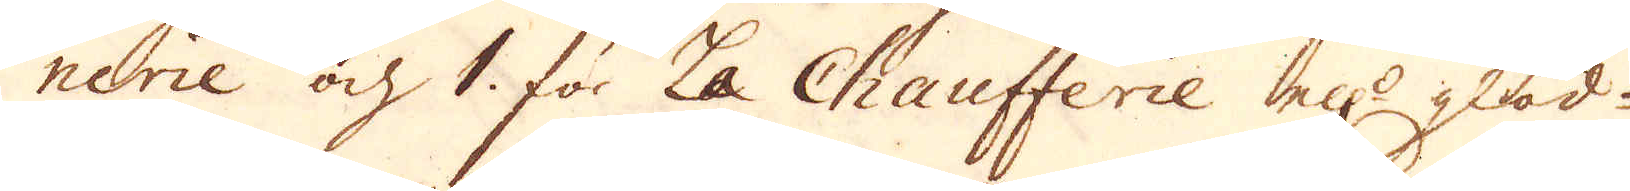nerie och 1 för La Chaufferie ell:r glöd-
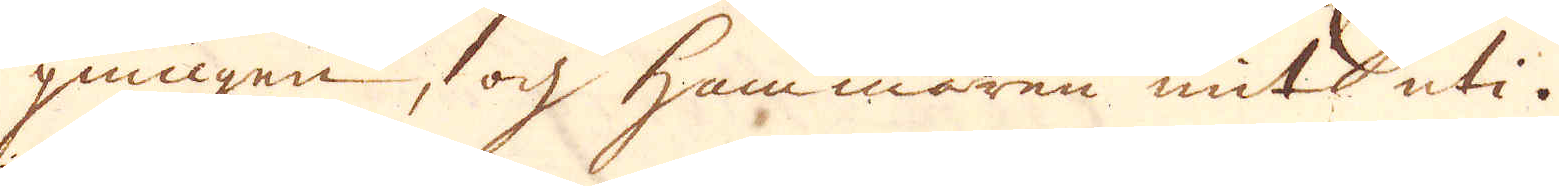gningen, och Hammaren mit uti.
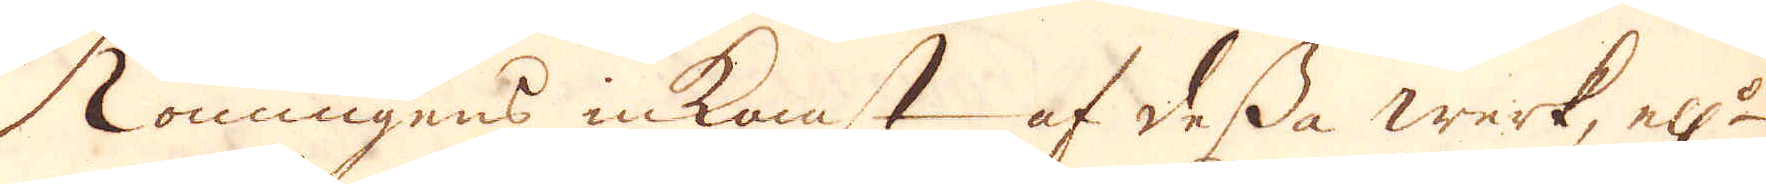Konungens inkomst af dessa werk, ell:r
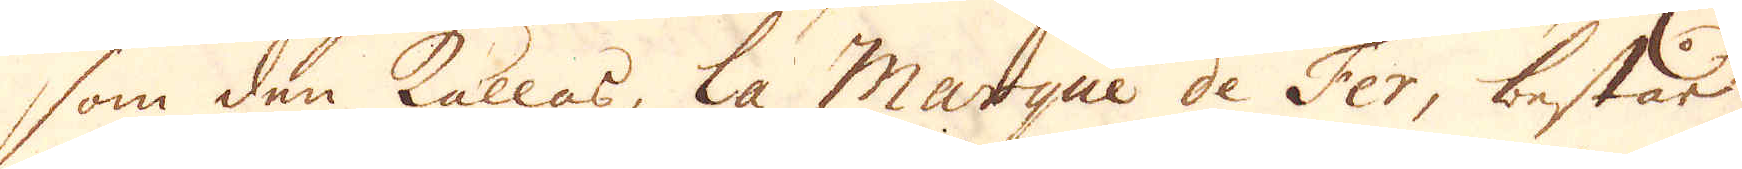som den kallas, la Marque de Fer, består
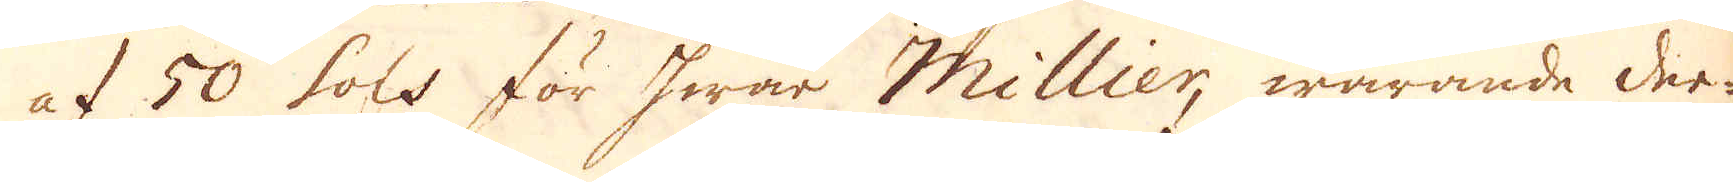af 50 sols för hwar Millier warande der-
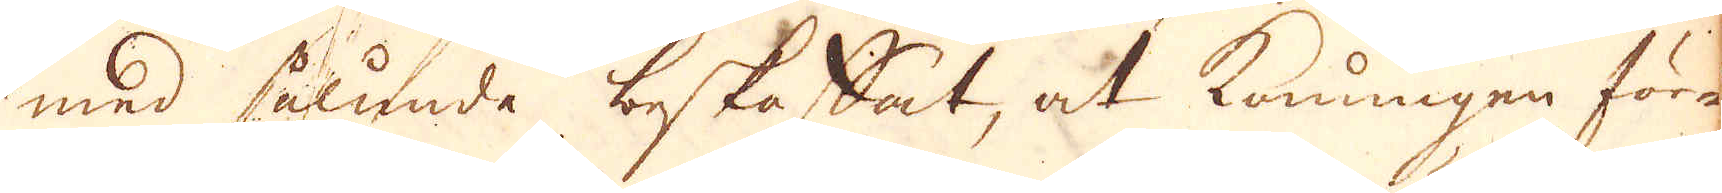med sålunda beskaffat, at konungen före
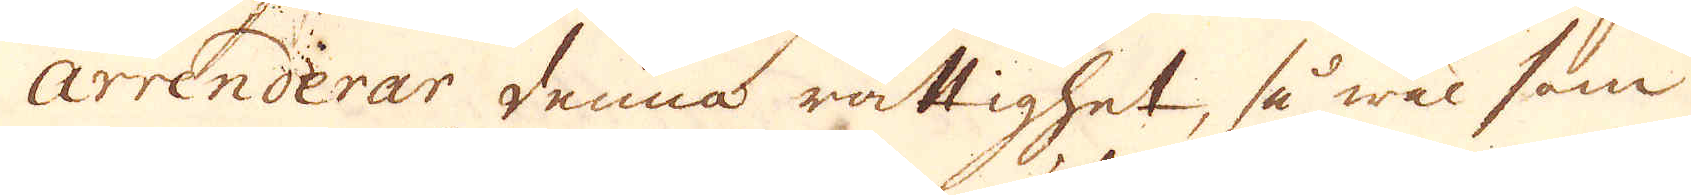arrenderar denna rättighet, så wäl som
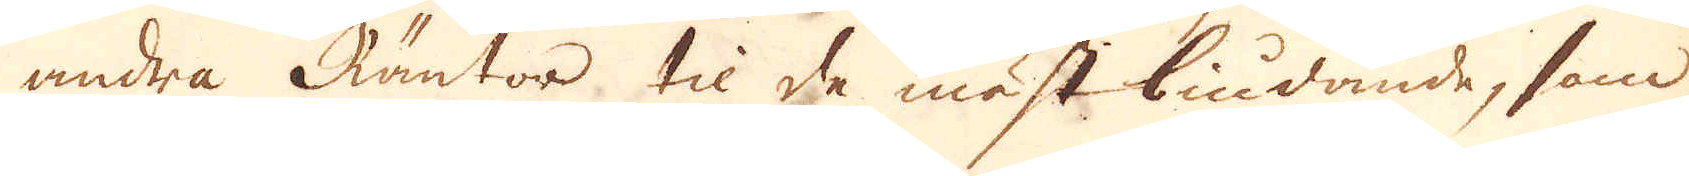andra Räntor til de mäst biudande, som
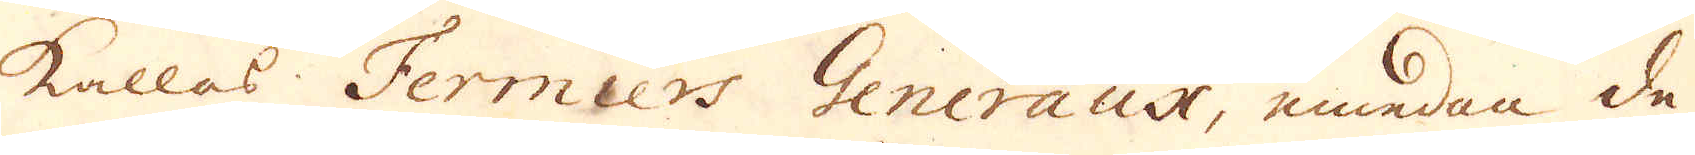kallas Fermiers Generaux, emedan de
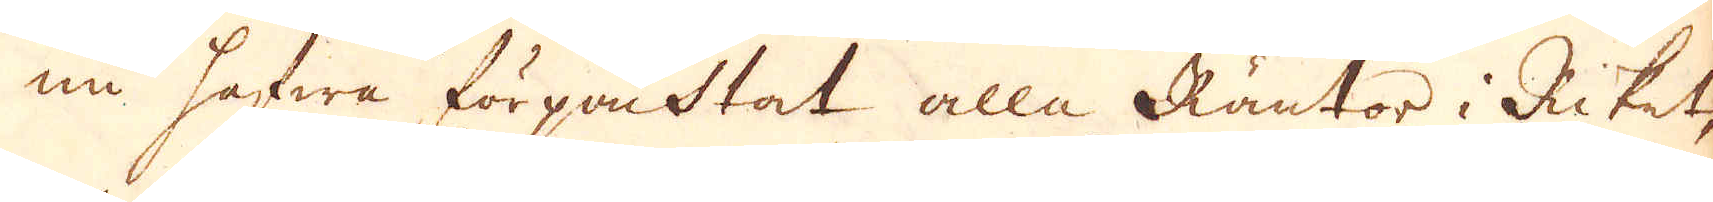nu hafwa förqastat alla Räntor i Riket,
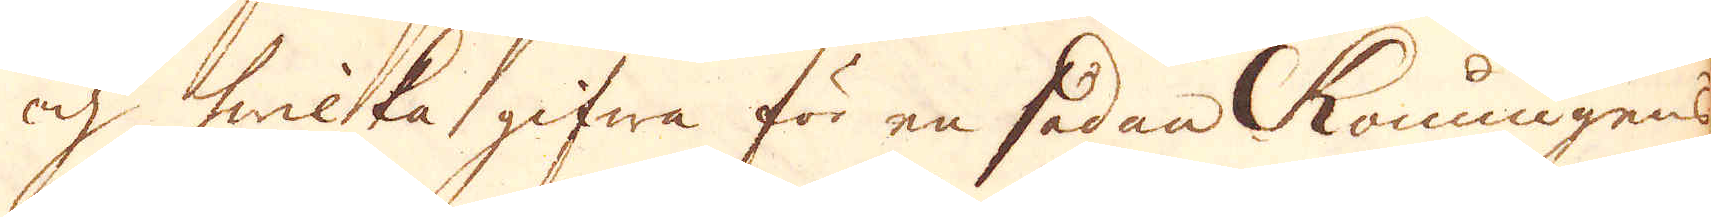och hwilka gifwa för en sådan konungens
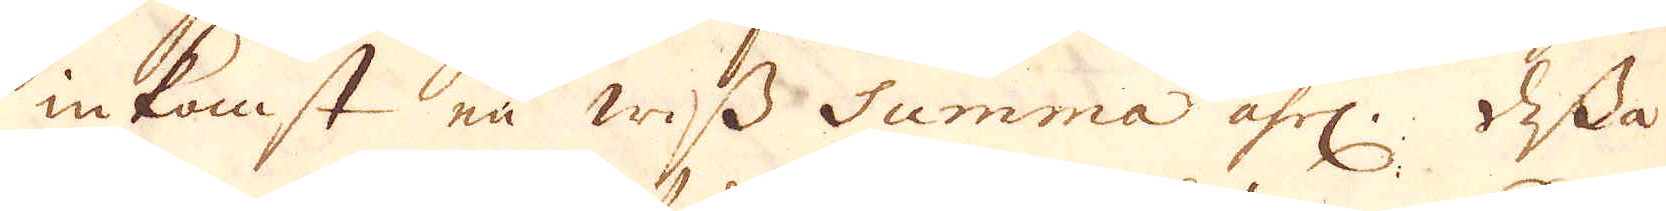inkomst en wiss Summa åhrl. Dessa
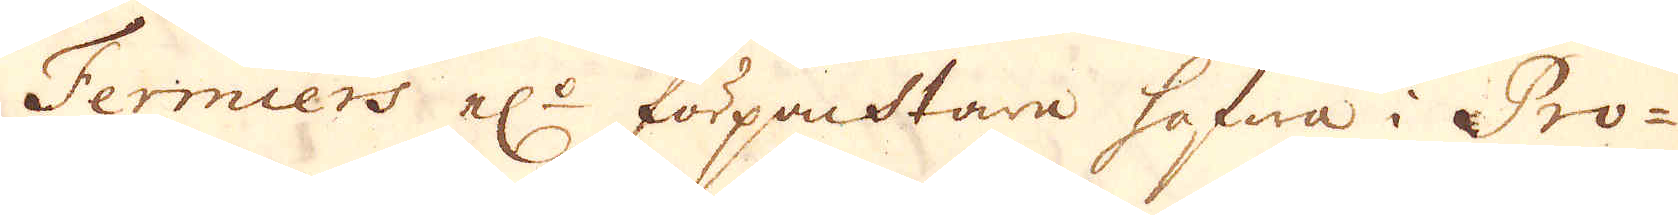Fermiers el:r förpachtare hafwa i Pro-
